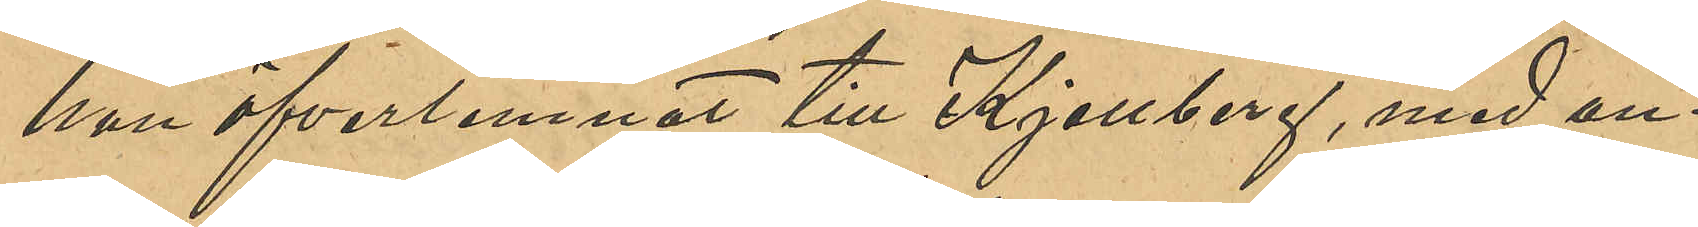han öfverlemnat till Kjellberg, med an¬
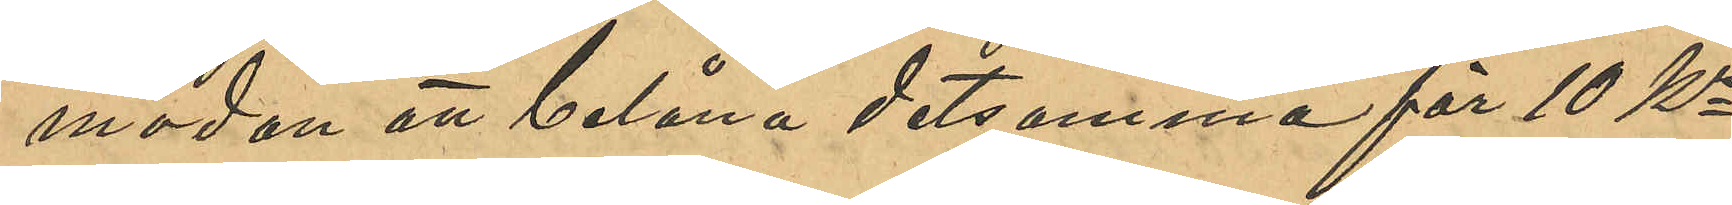modan att belåna detsamma för 10 Kr
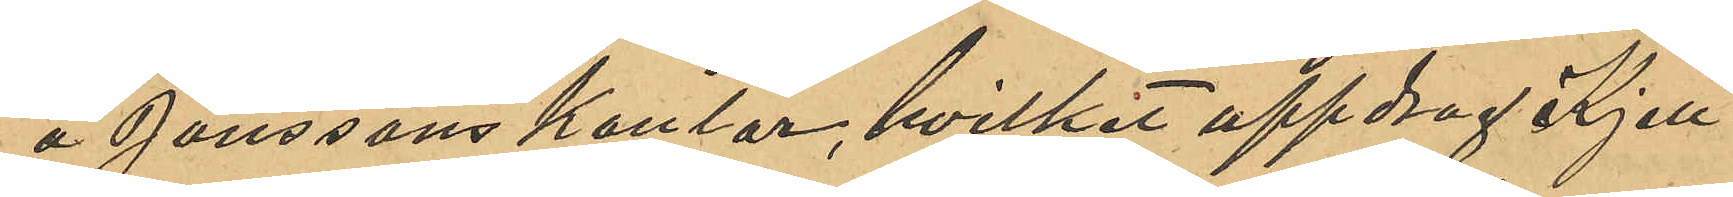å Jonssons kontor, hvilket uppdrag Kjell¬
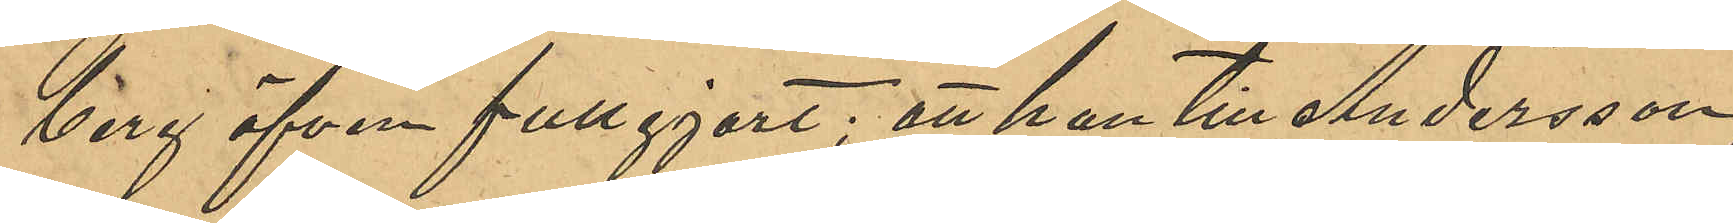berg äfven fullgjort; att han till Andersson,
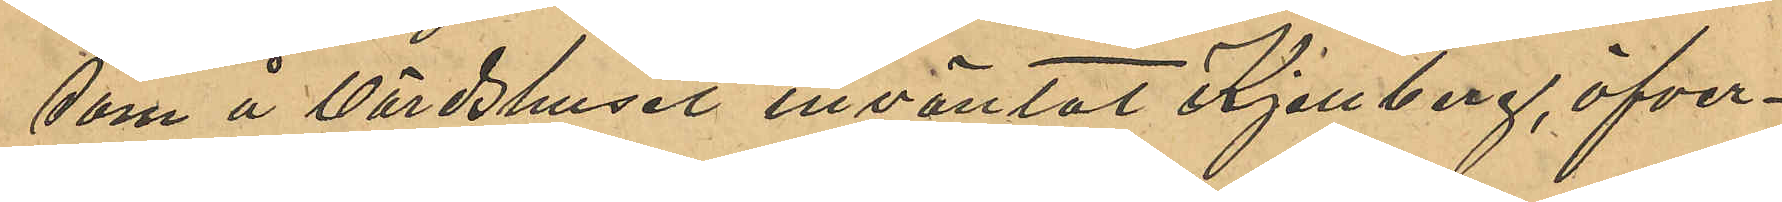som å Värdshuset inväntat Kjellberg, öfver¬
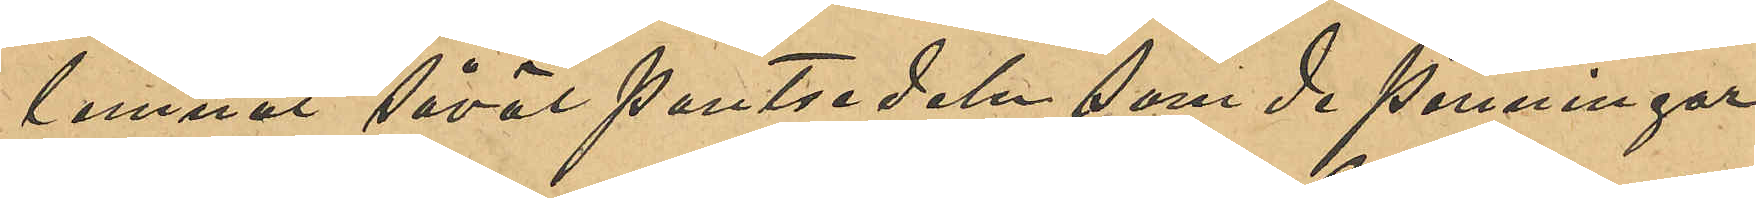lemnat såväl pantsedeln som de penningar
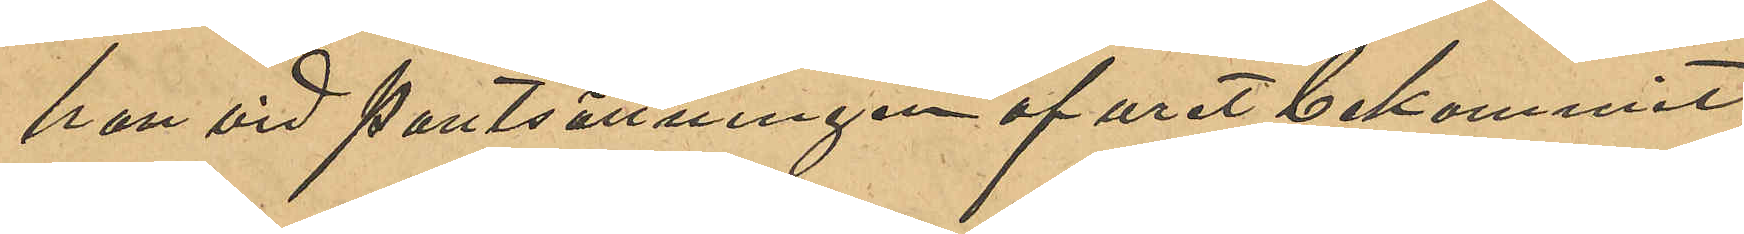han vid pantsättningen af uret bekommit;
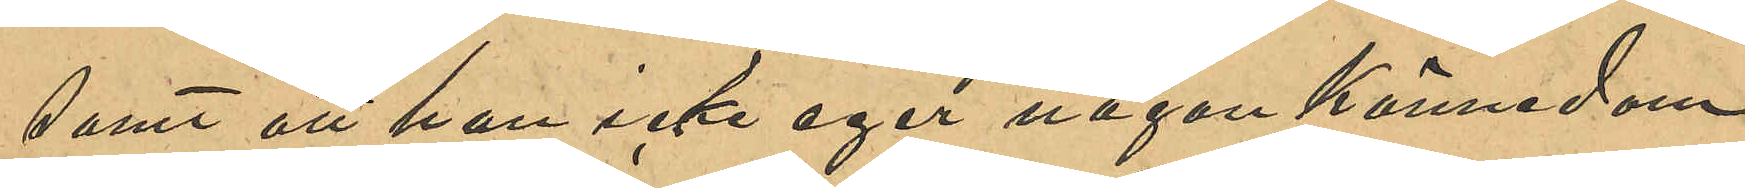samt att han icke eger någon kännedom
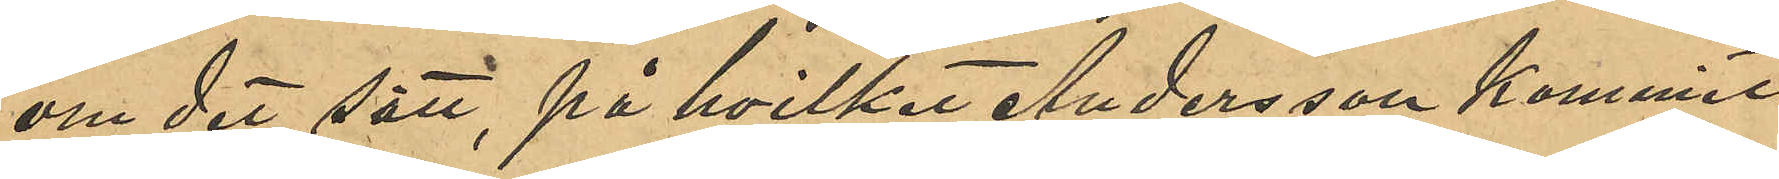om det sätt, på hvilket Andersson kommit
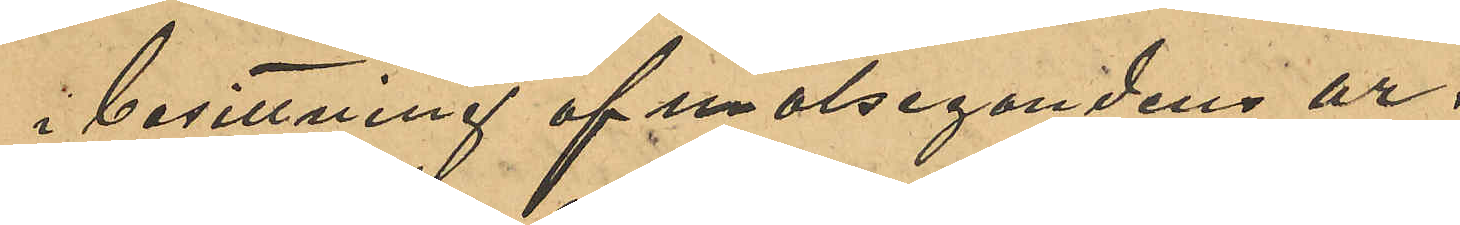i besittning af målsegandens ur.
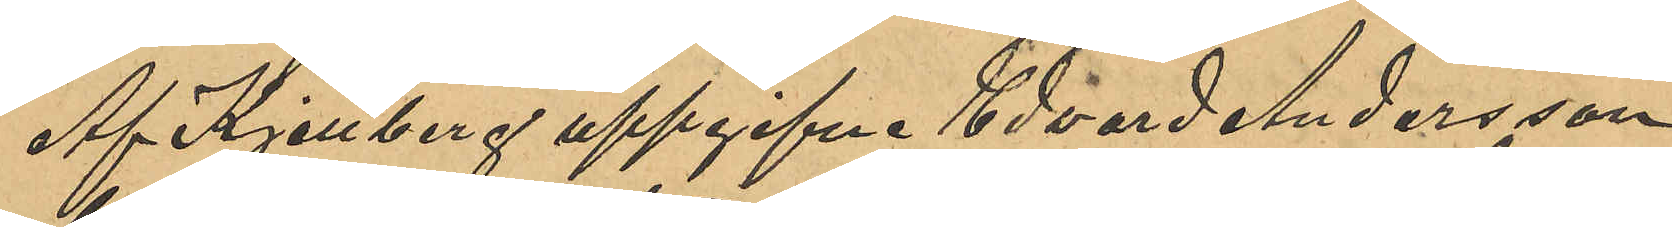Af Kjellberg uppgifna Edvard Andersson
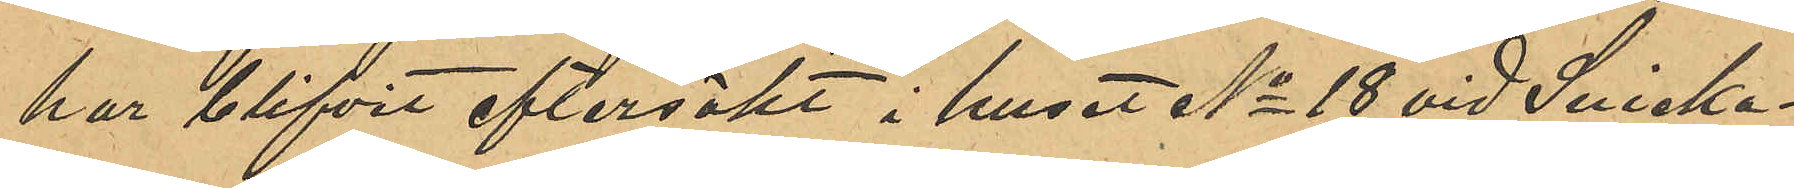har blifvit eftersökt i huset No 18 vid Snicka¬
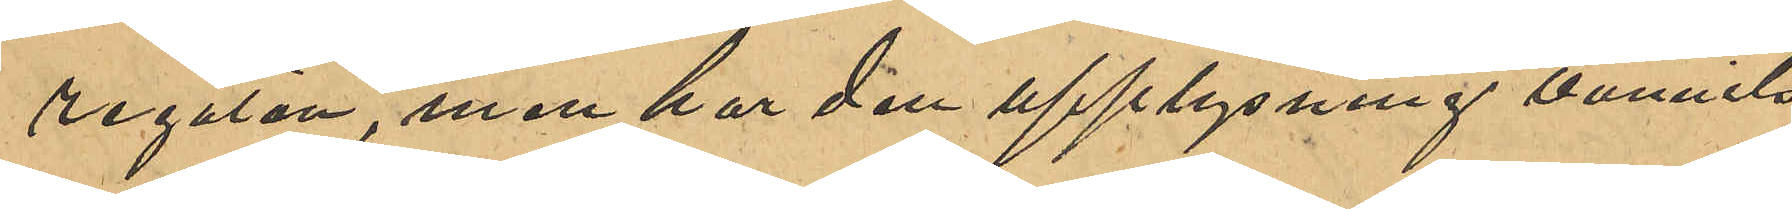regatan, men har den upplysning vunnits
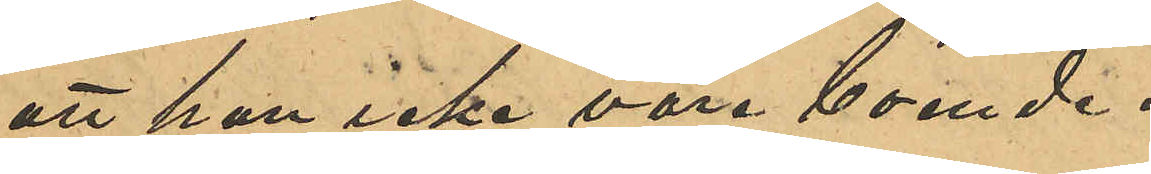att han icke vore boende.
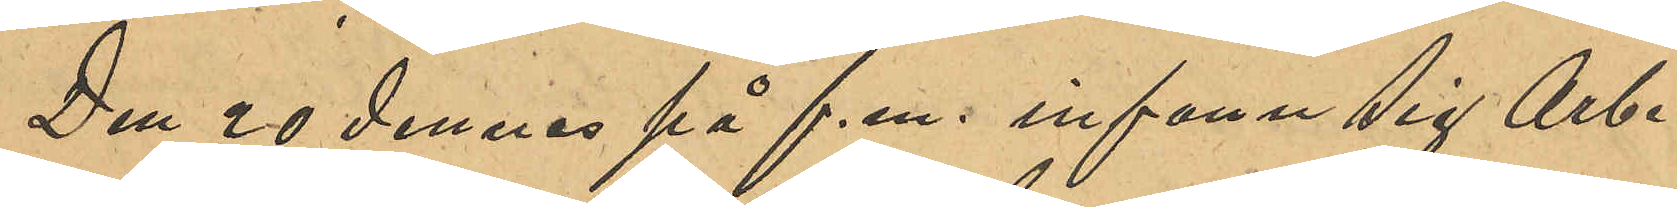Den 20 dennes på f.m. infann sig Arbe¬
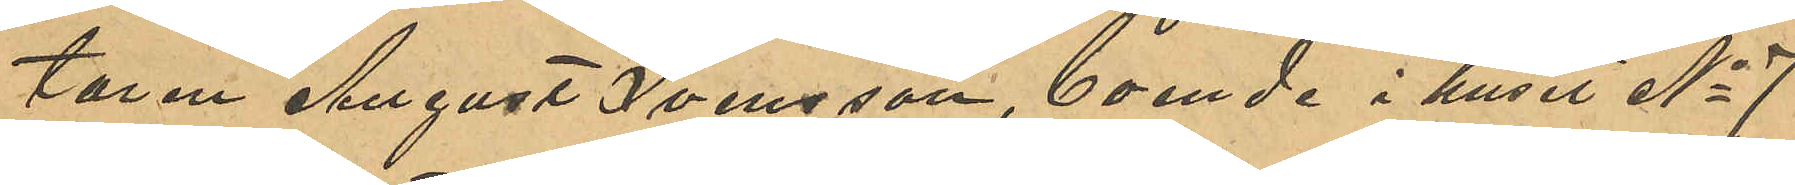taren August Svensson, boende i huset No 7
